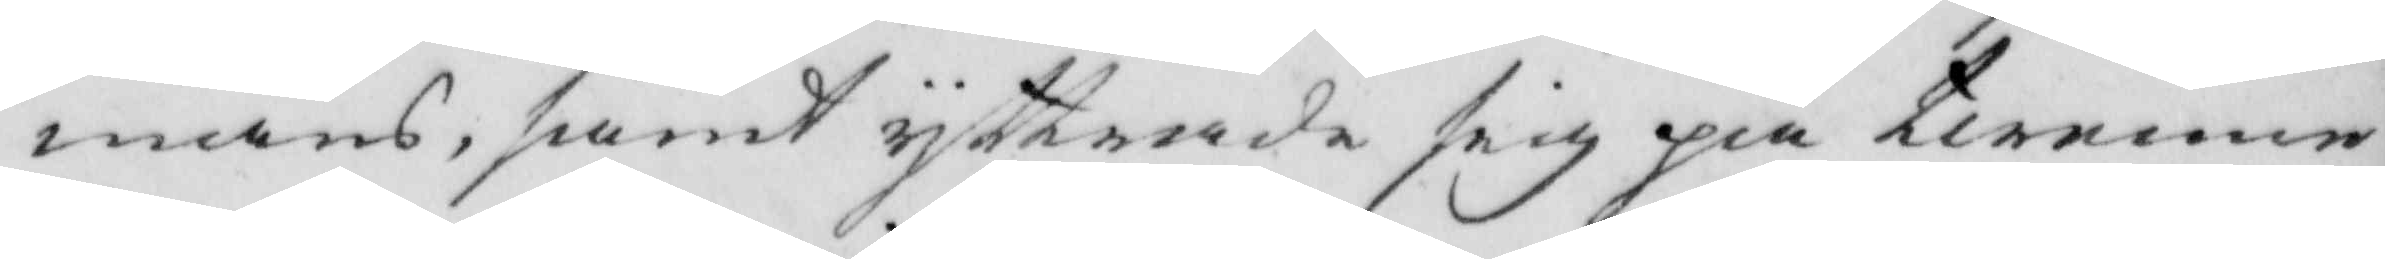mans, samt yttrade sig piå twenne
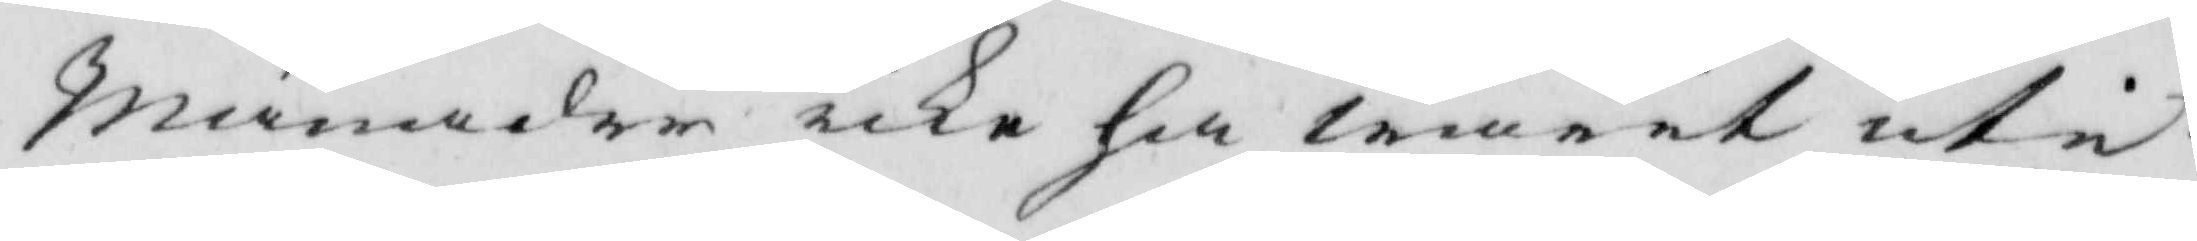månader icke ha warit uti
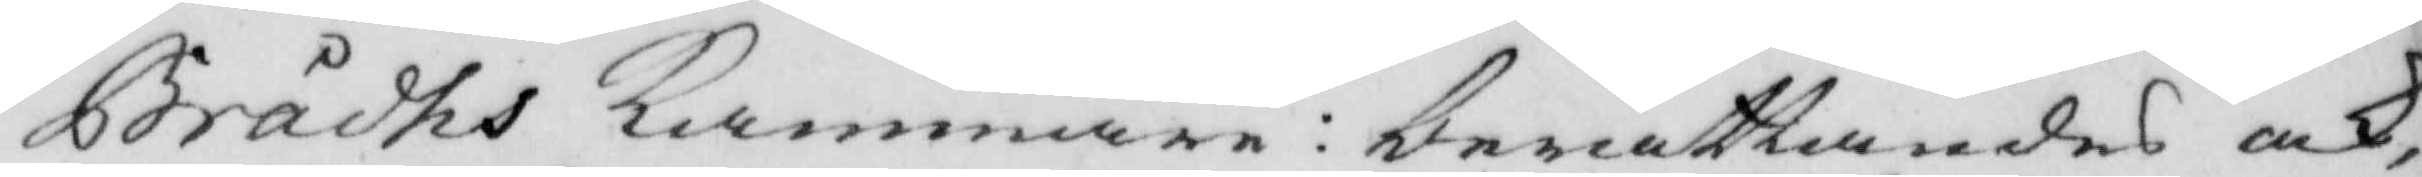Brådhs Kammare: berättandes ock,
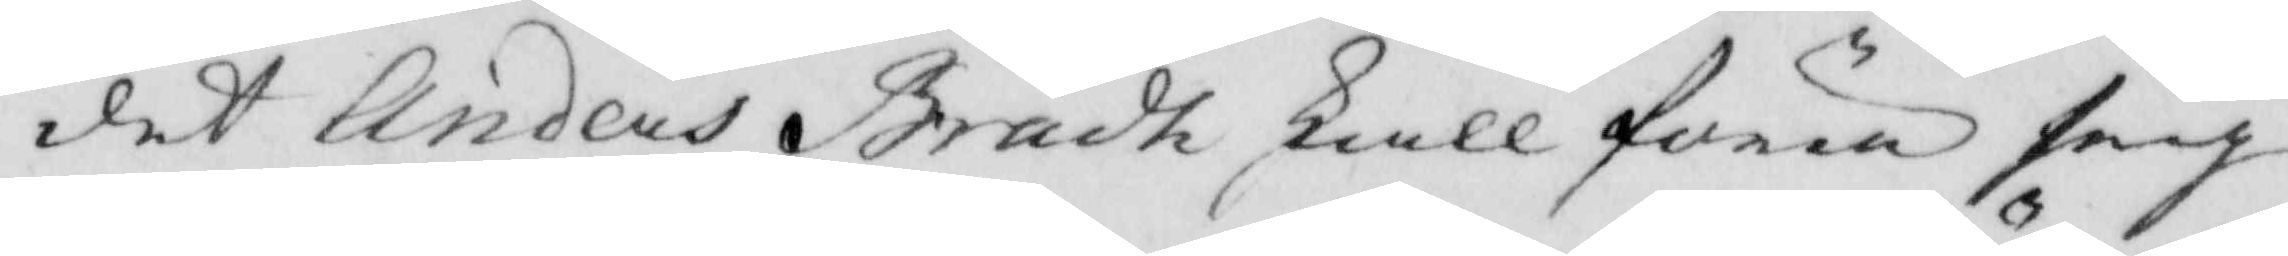det Anders Brådh skall föra sig
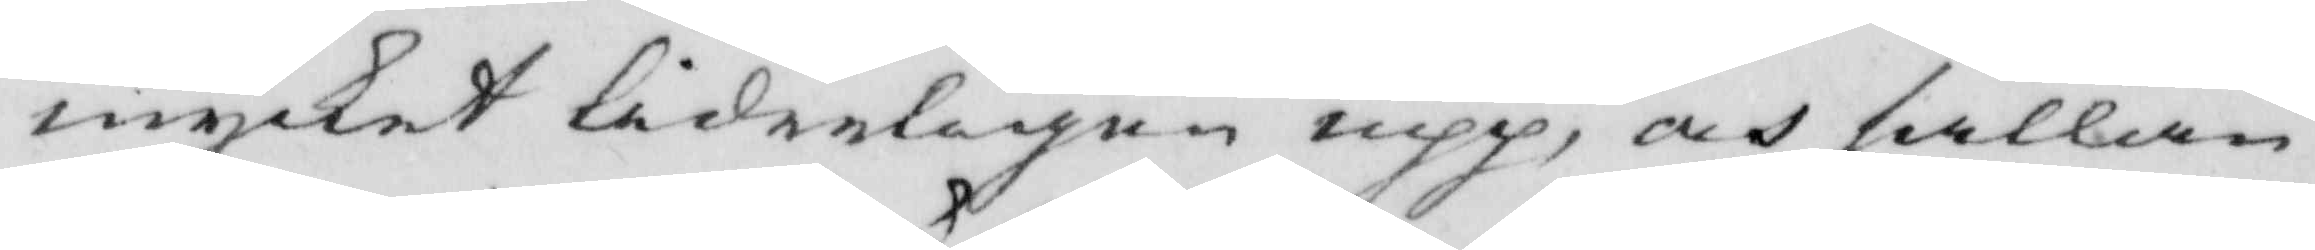mycket liderligen upp, och sällan
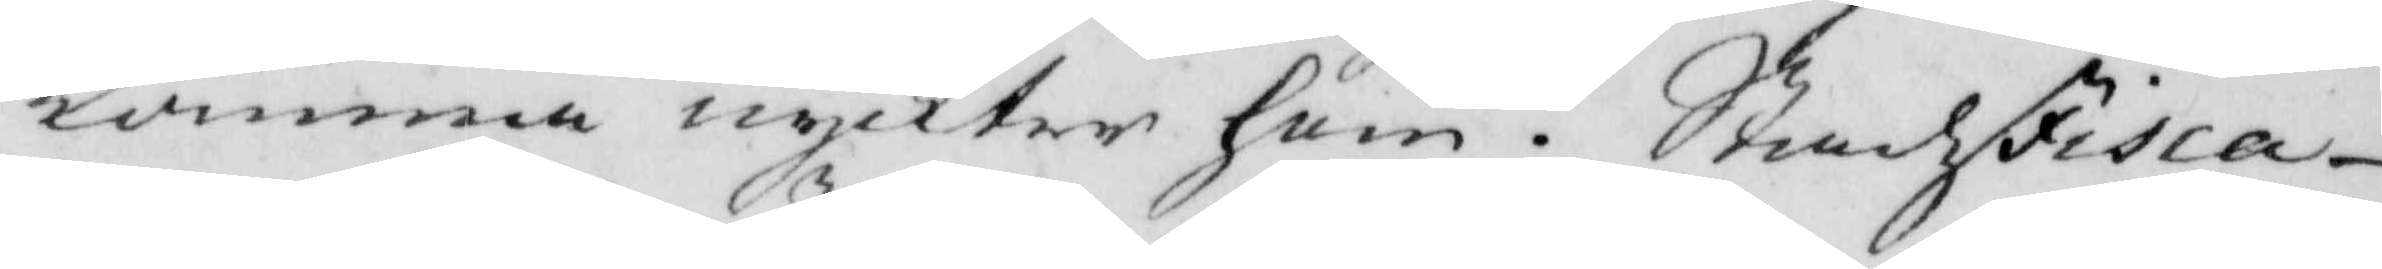komma nyckter hem. Stadzfisca¬
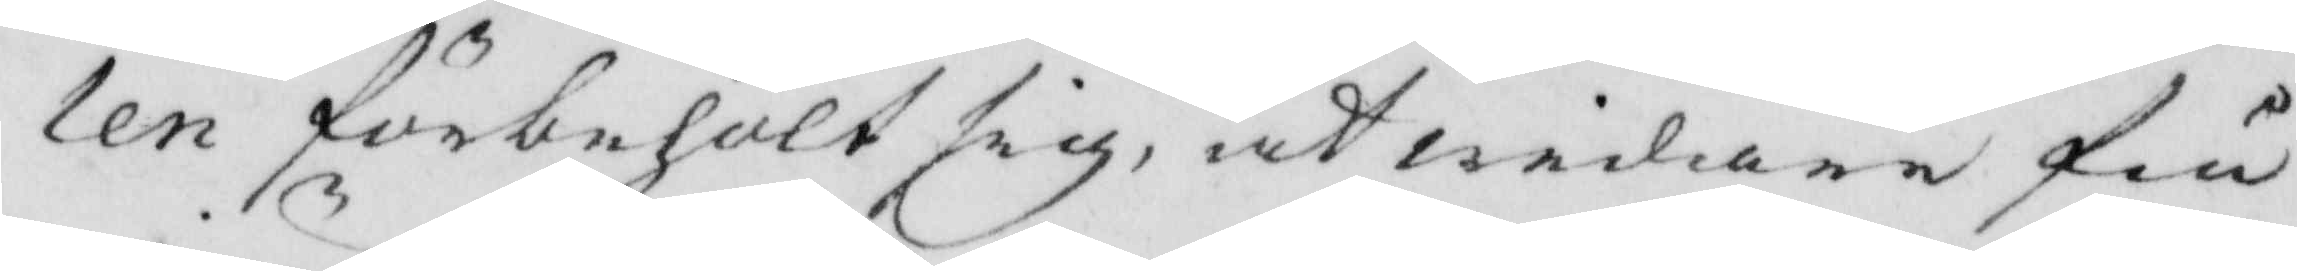len förbehölt sig, at widare få
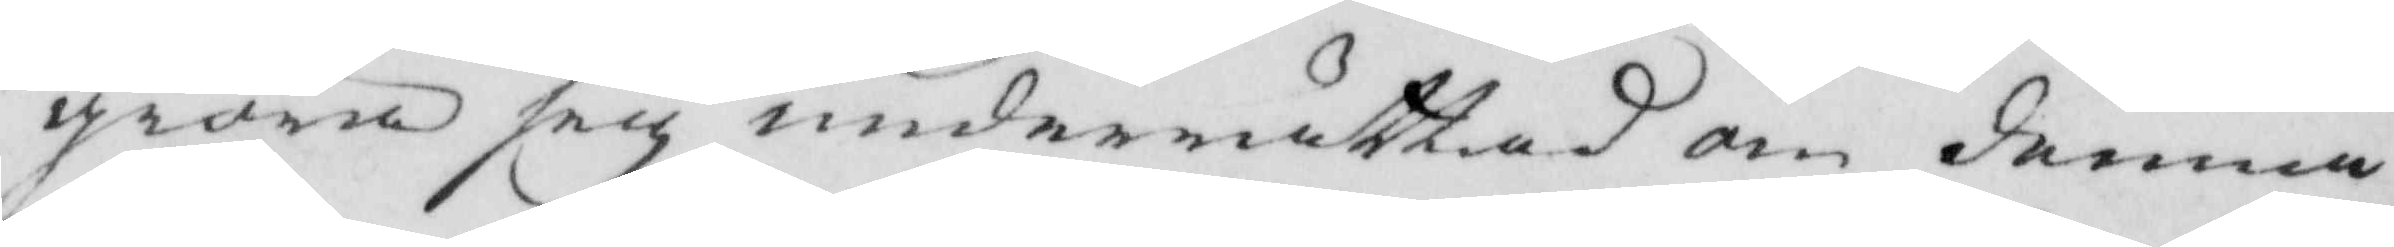giöra sig underrättad om demna
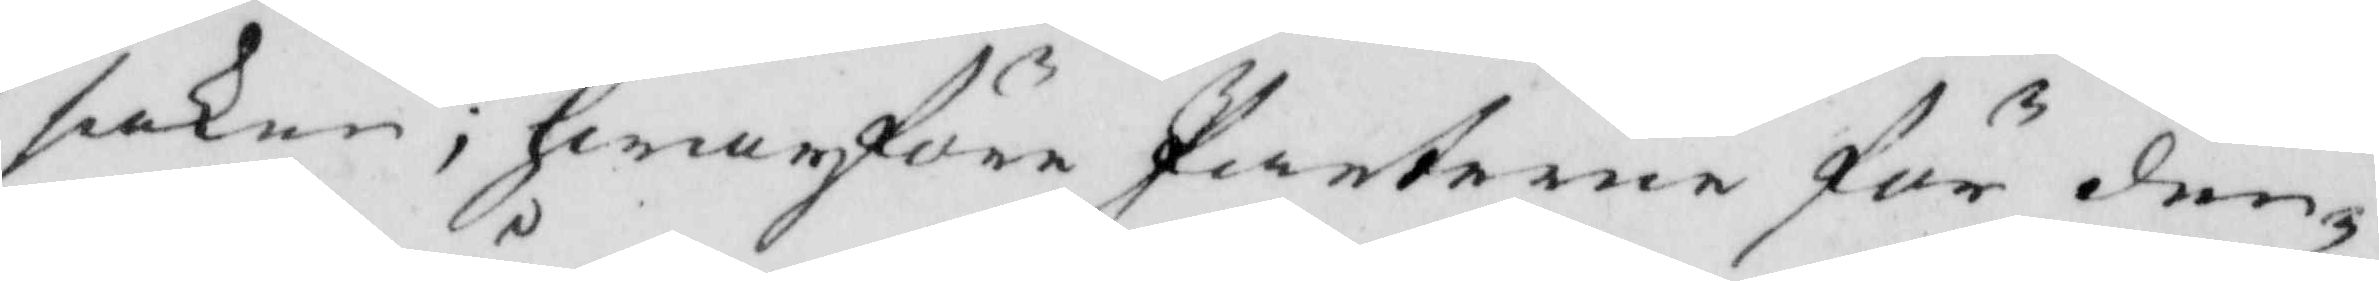saken; hwarföre Parterne för den¬
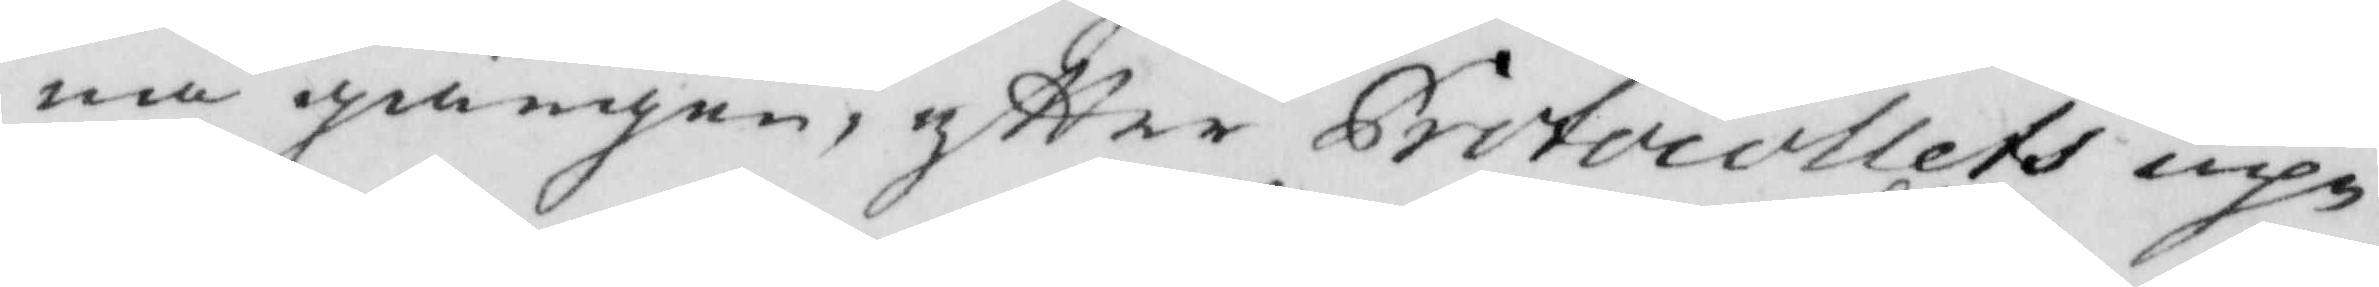na gången, eftter Protocollets up¬
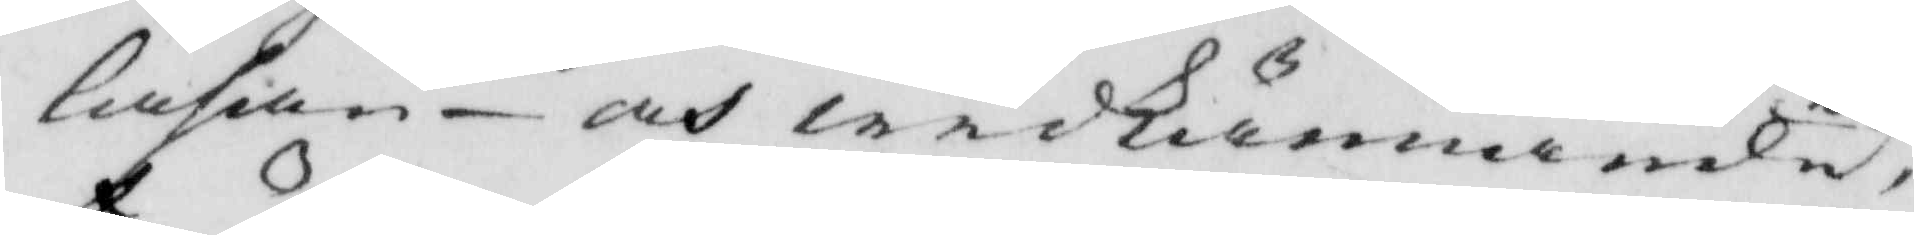lähan- och widkännande, 
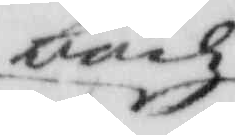bödz
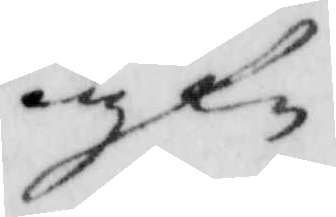af¬
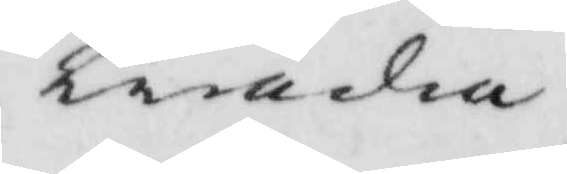träda.
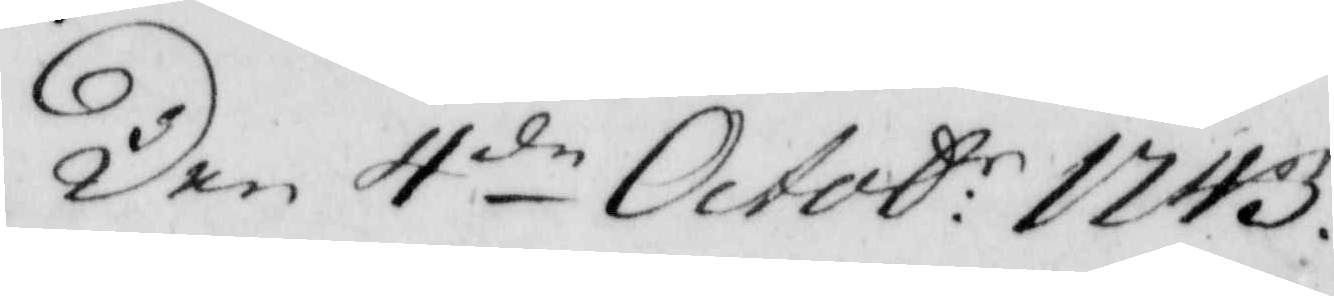Den 4:de Octob:: 1743. 
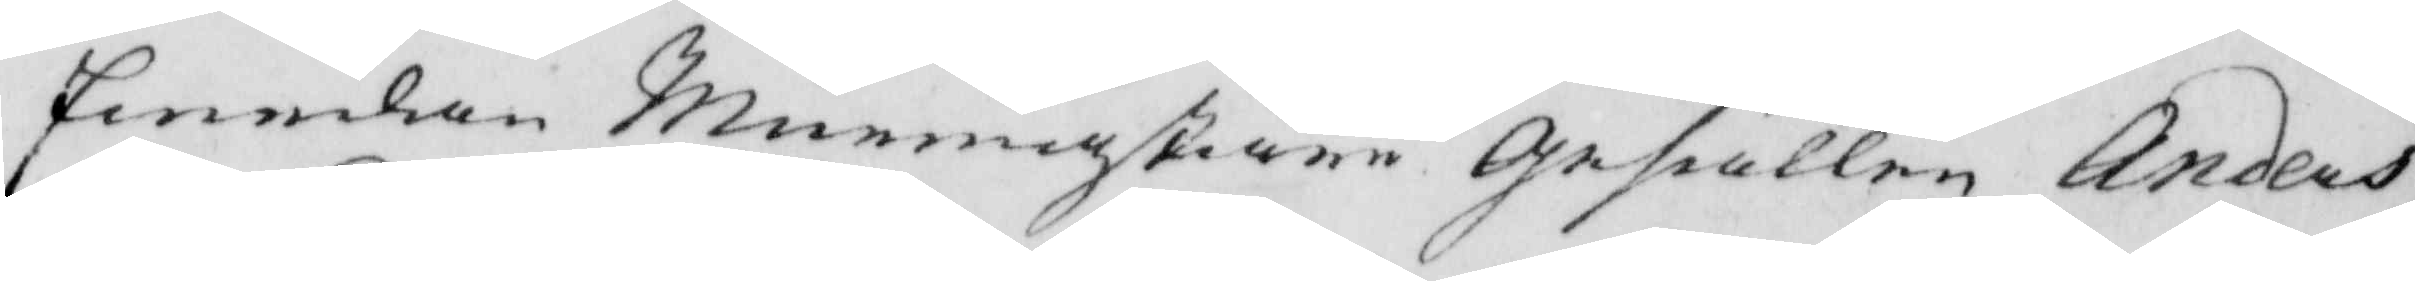Emedan Murmästare gesällen Anders
